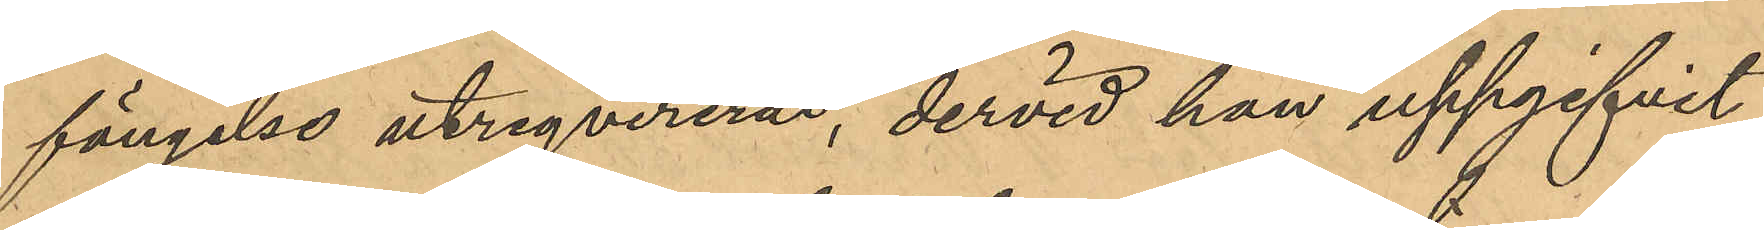fängelse utreqvirerad, dervid han uppgifvit
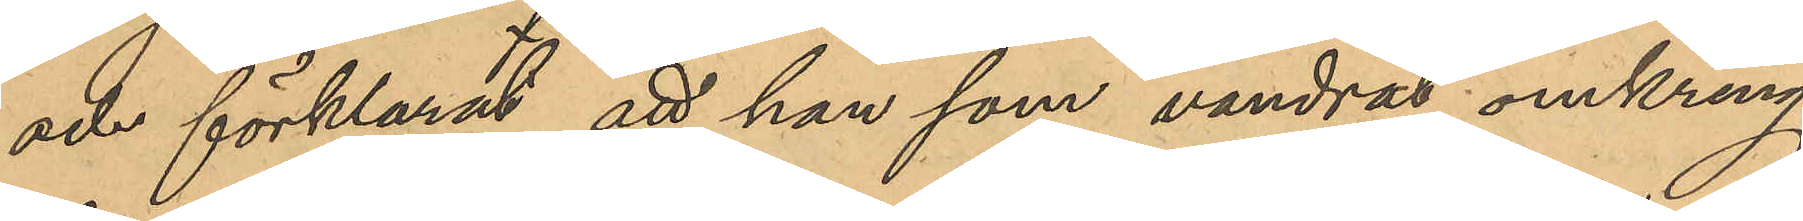och förklarat, att han som vandrat omkring
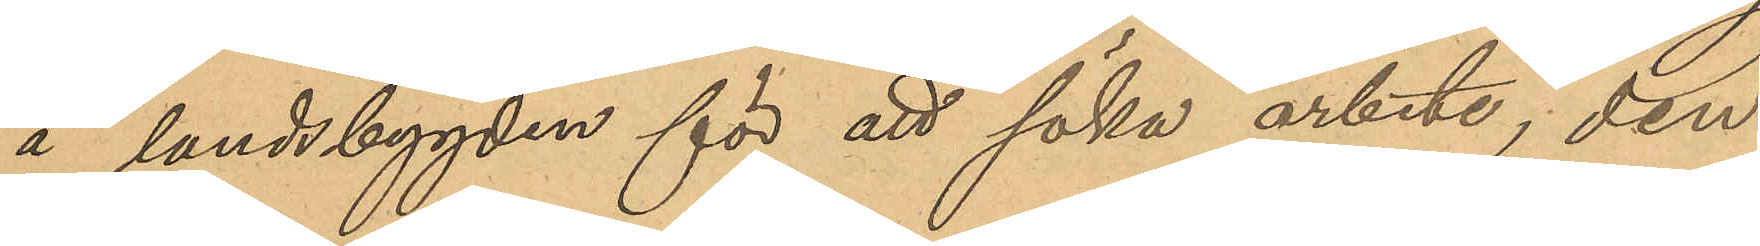å landsbygden för att söka arbete, den
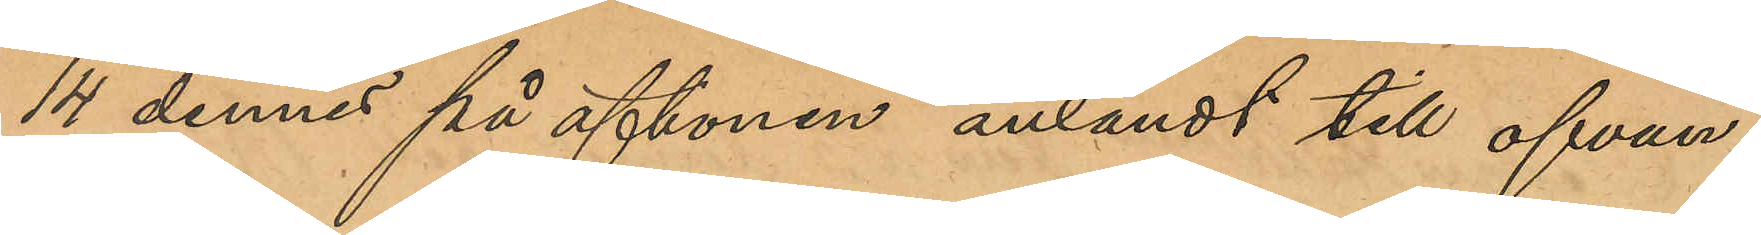14 dennes på aftonen anländt till ofvan¬
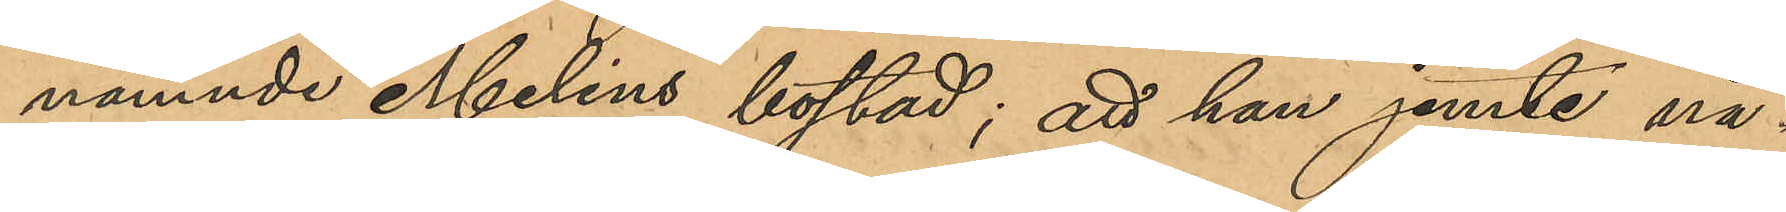nämnde Melins bostad; att han jemte nå¬
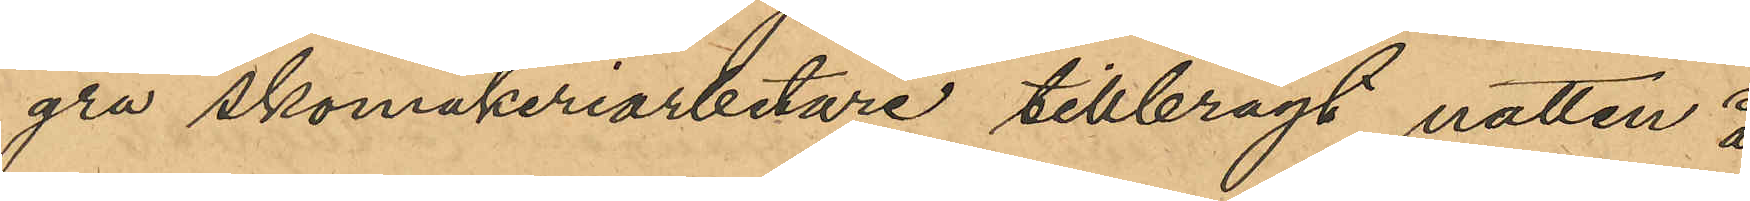gra skomakeriarbetare tillbragt natten å
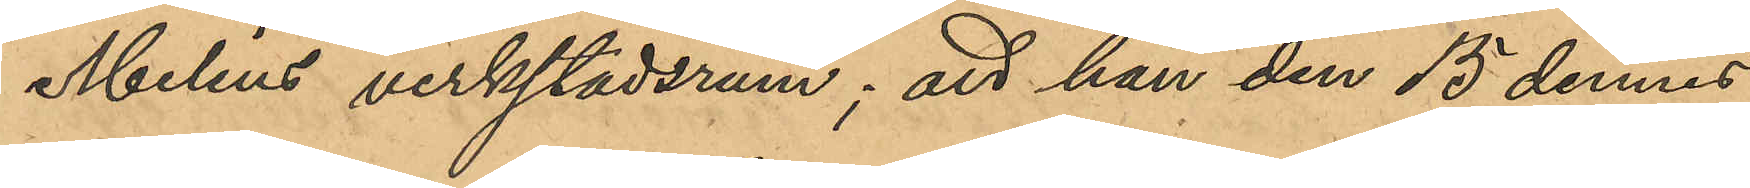Melins verkstadsrum; att han den 15 dennes
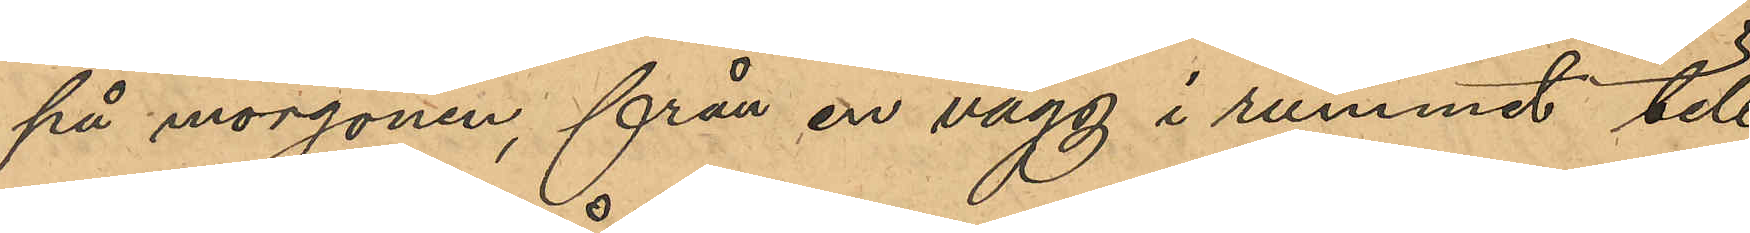på morgonen, från en vägg i rummet till
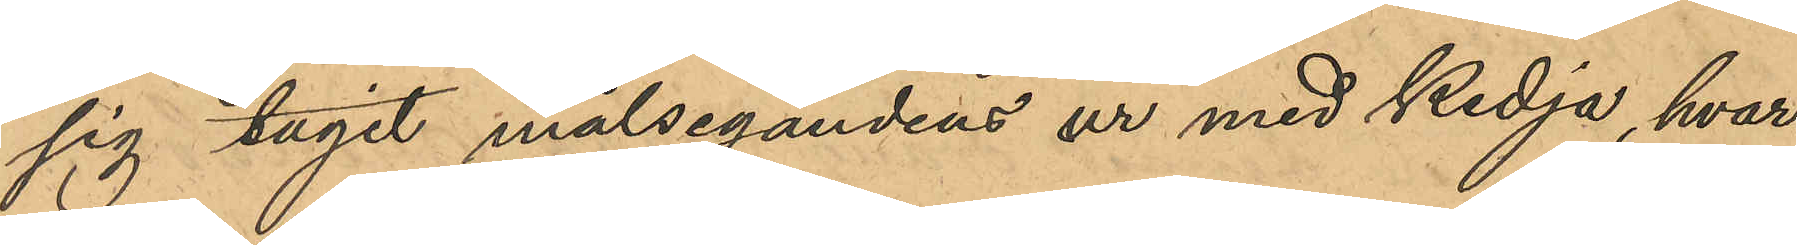sig tagit målsegandens ur med kedja, hvar¬
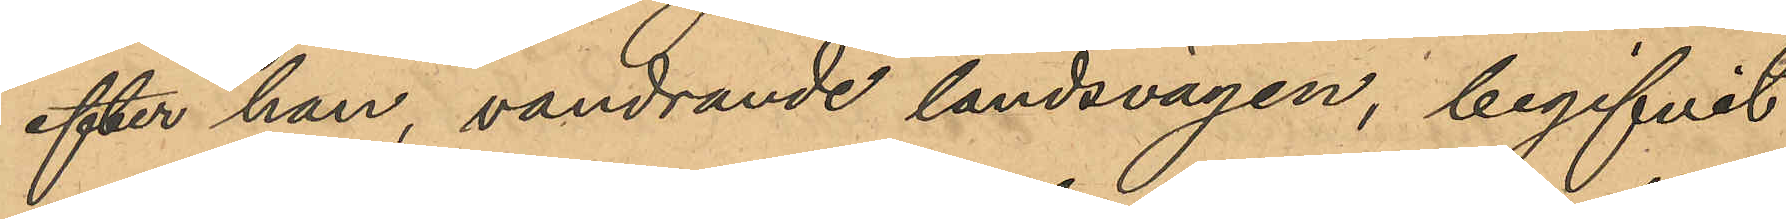efter han, vandrande landsvägen, begifvit
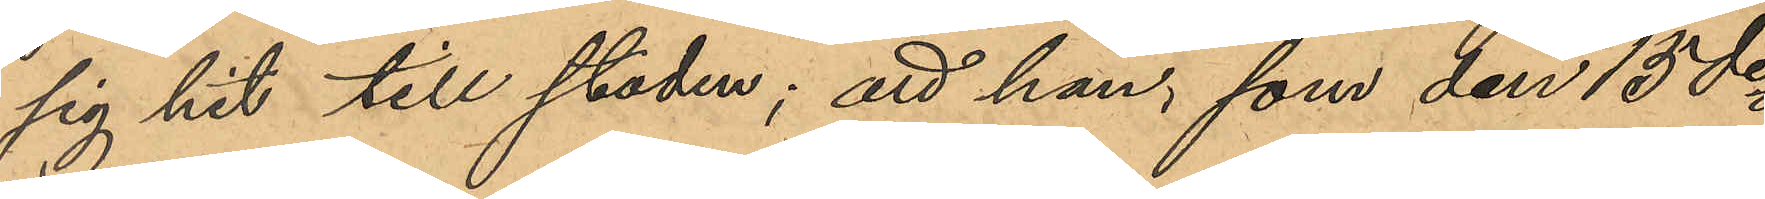sig hit till staden; att han, som den 15 des 
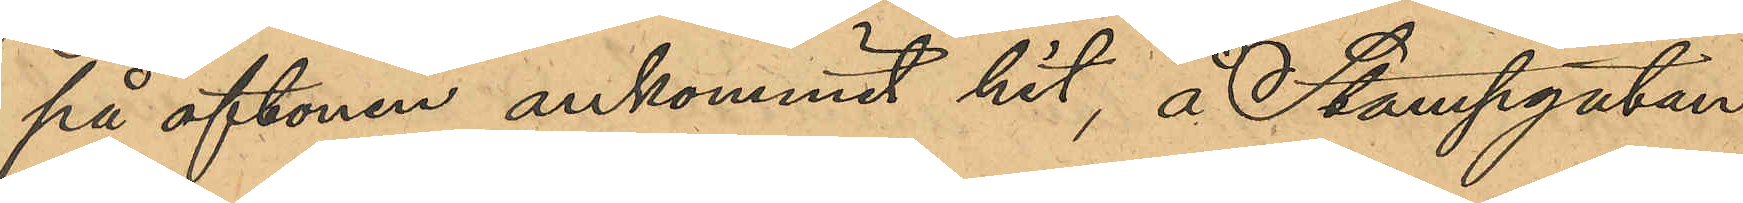på aftonen ankommit hit, å Stampgatan
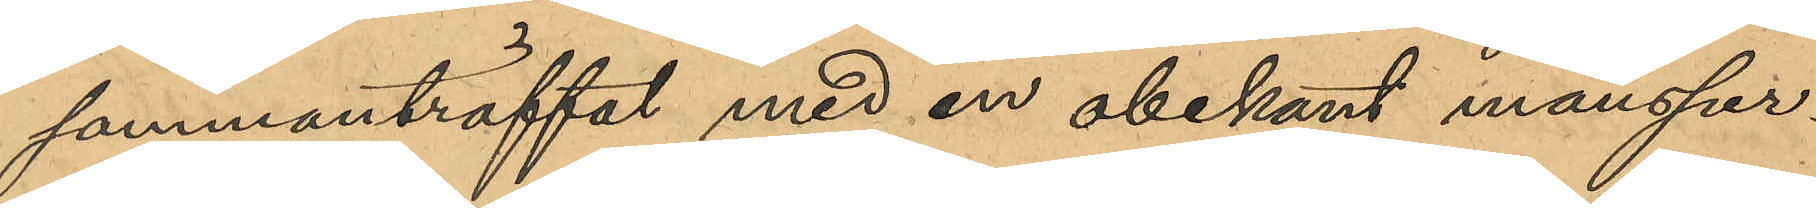sammanträffat med en obekant mansper¬
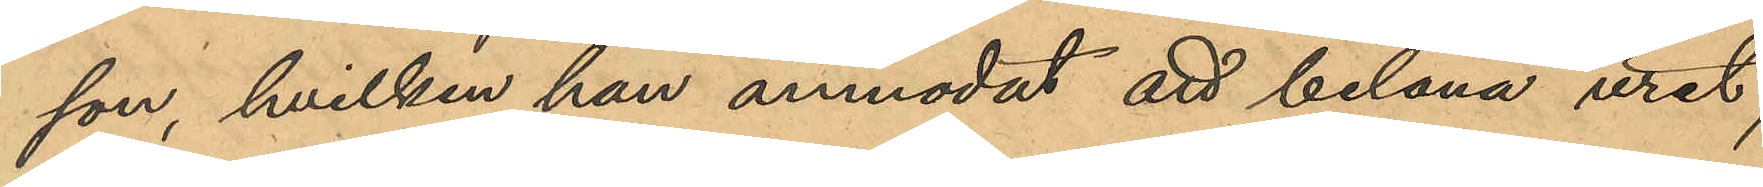son, hvilken han anmodat att belåna uret;
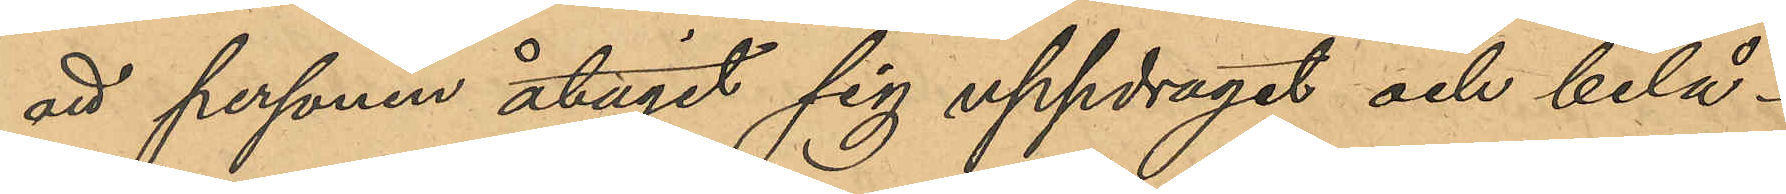att personen åtagit sig uppdraget och belå¬
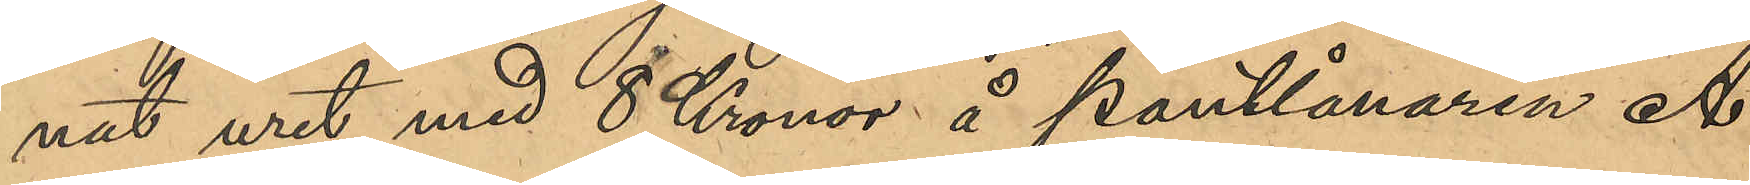nat uret med 8 Kronor å pantlånaren A.
